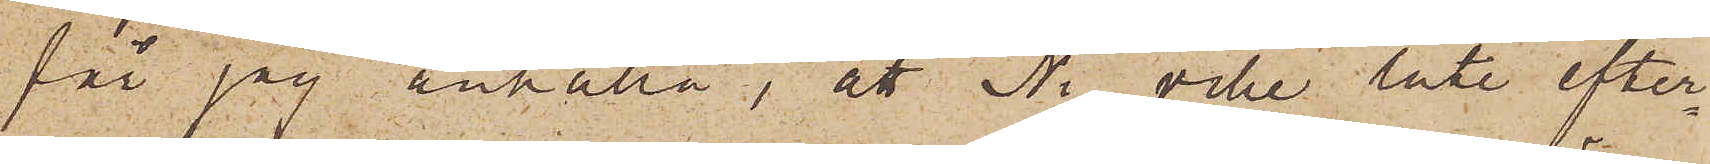får jag anhålla, att Ni ville låta efter¬
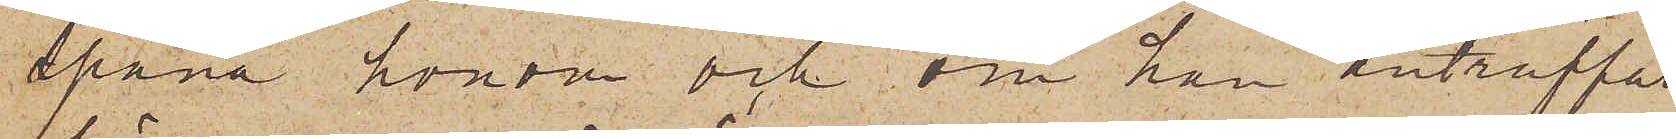spana honom och om han anträffas
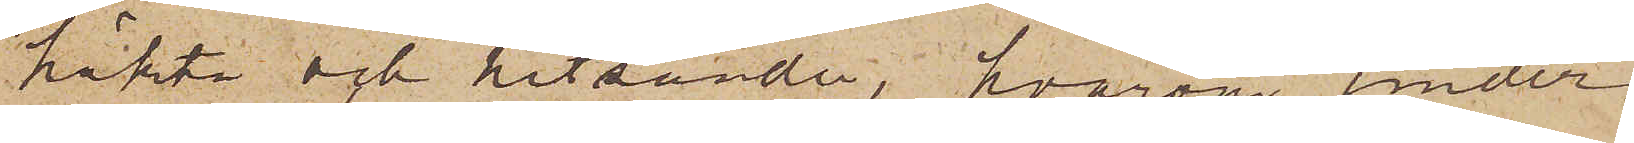häkta och hitsända, hvarom under¬
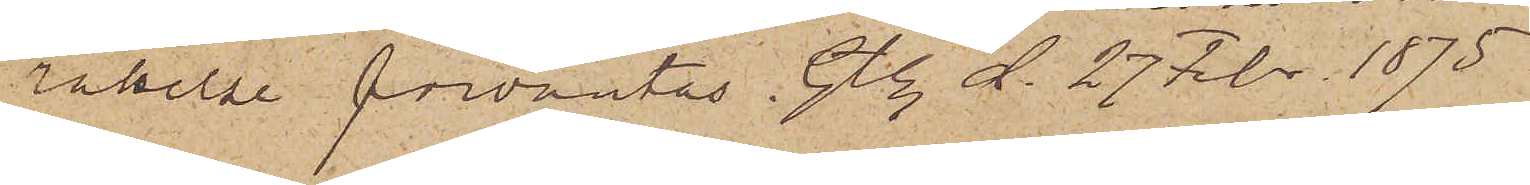rättelse förväntas. Gbg d. 27 Febr. 1875.
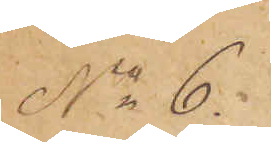No 6.
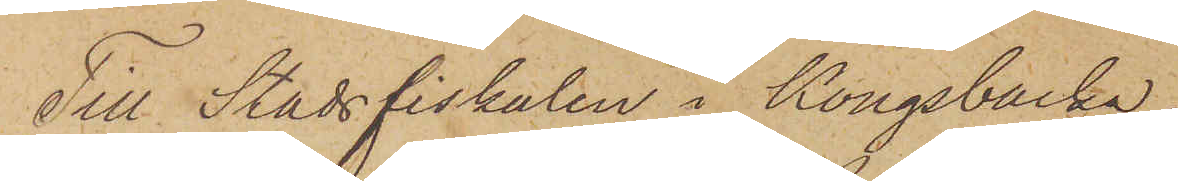Till Stadsfiskalen i Kongsbacka.
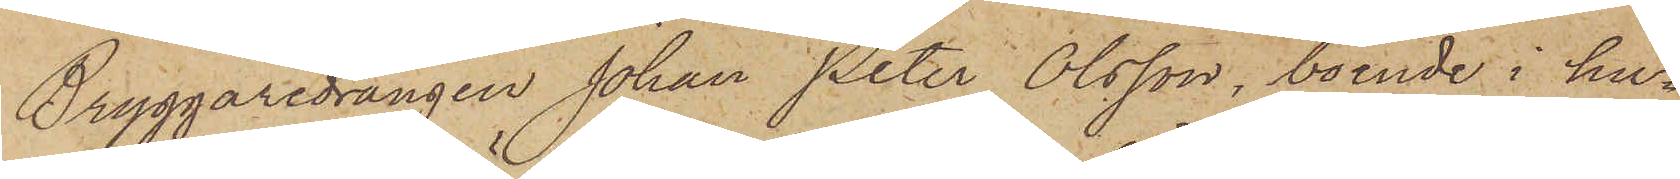Bryggaredrängen Johan Peter Olsson, boende i hu¬
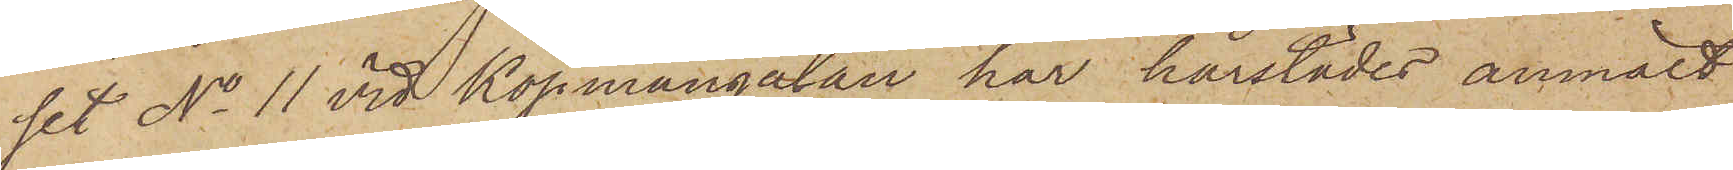set No 11 vid Köpmangatan har härstädes anmält
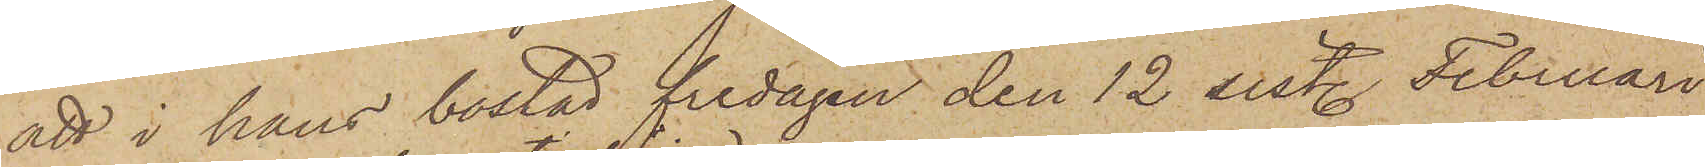att i hans bostad fredagen den 12 sist. Februari
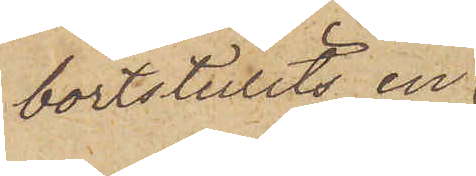bortstulits en
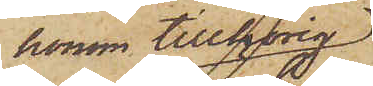honom tillhörig
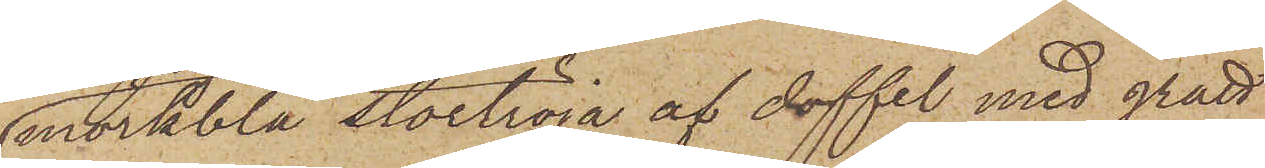mörkblå stortröja af doffel med grått
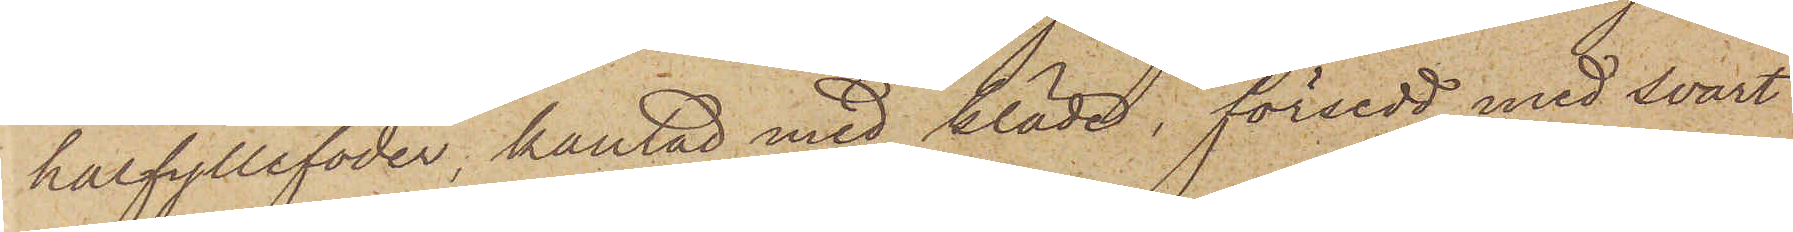halfyllefoder, kantad med kläde, försedd med svart
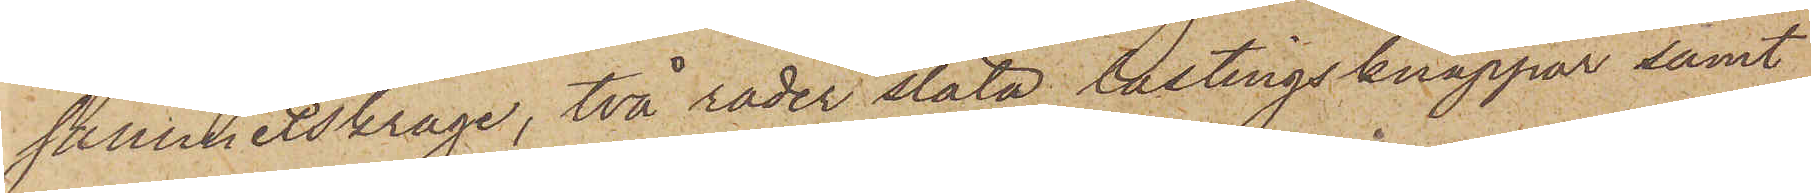sammetskrage, två rader släta lastingsknappar samt
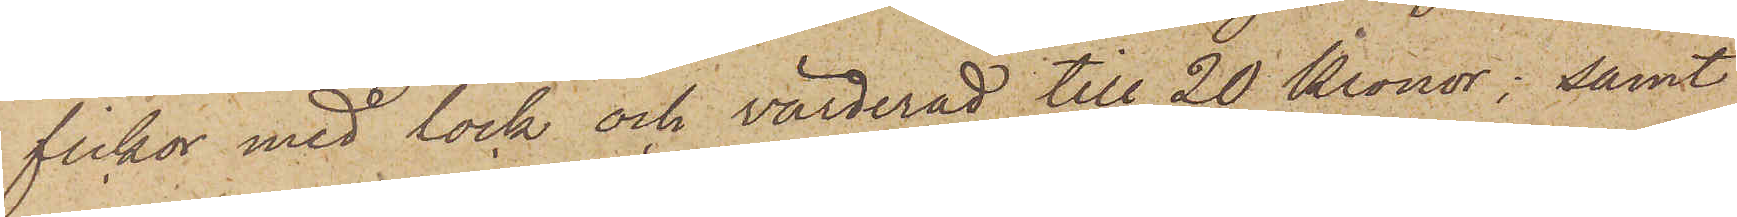fickor med lock och värderad till 20 Kronor; samt
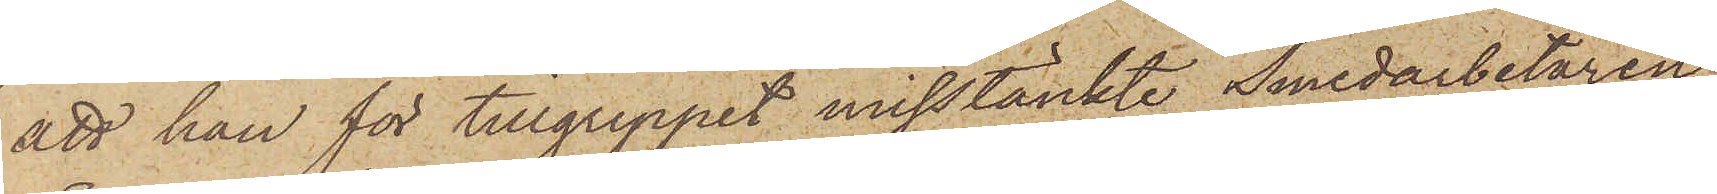att han för tillgreppet misstänkte Smedarbetaren
